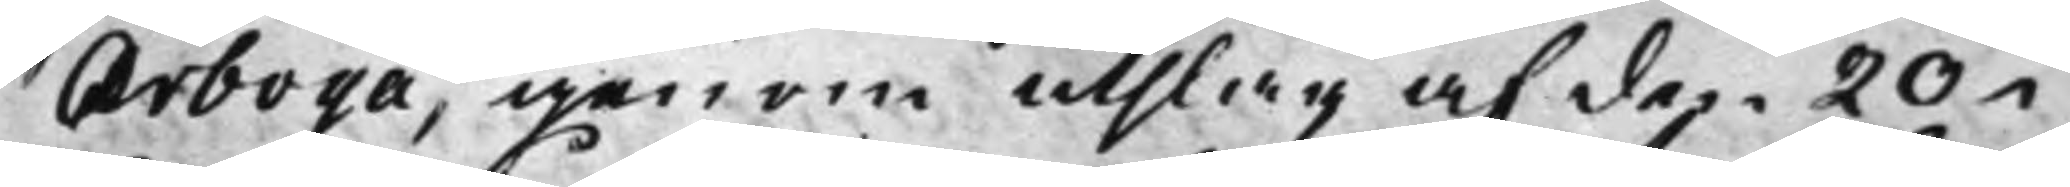Arboga, genom utslag af den 20 i
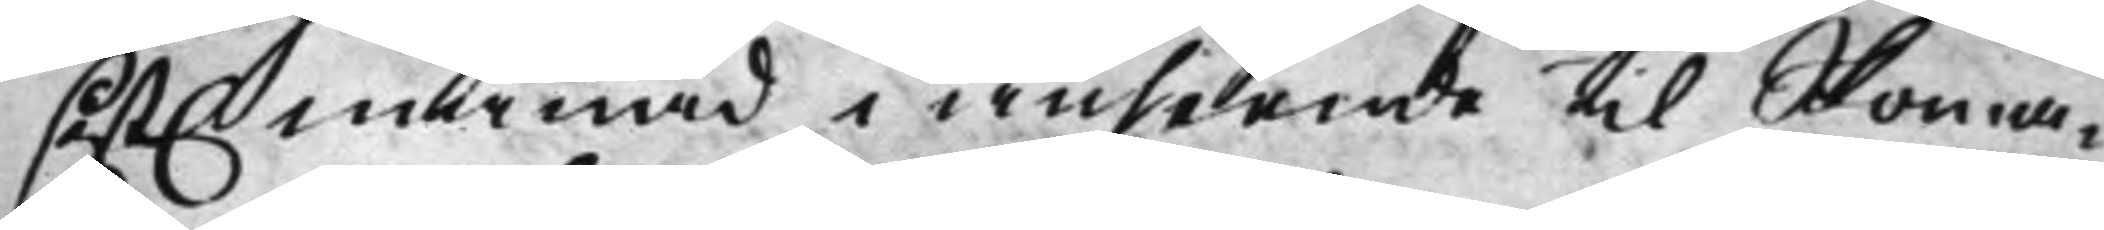sist. månad, i anseende til Skoma¬
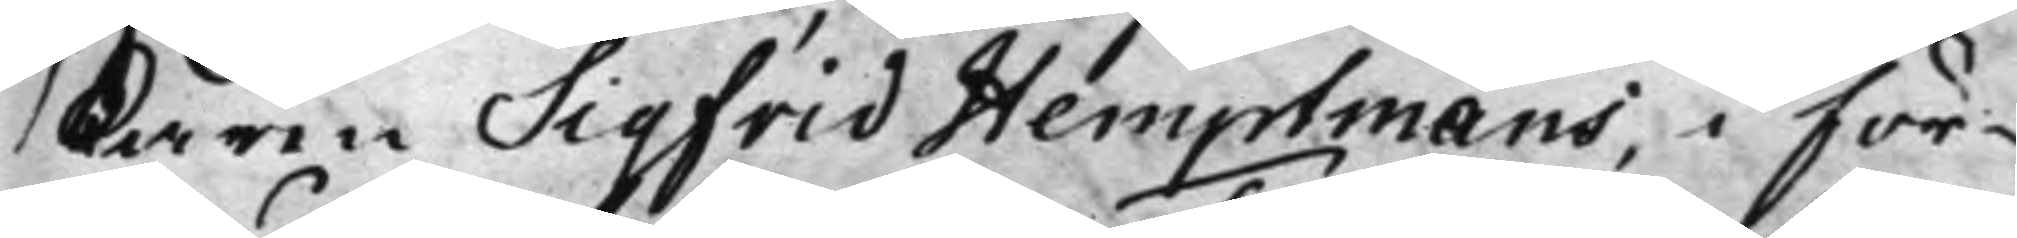karen Sigfrid Hemptmans, i för¬
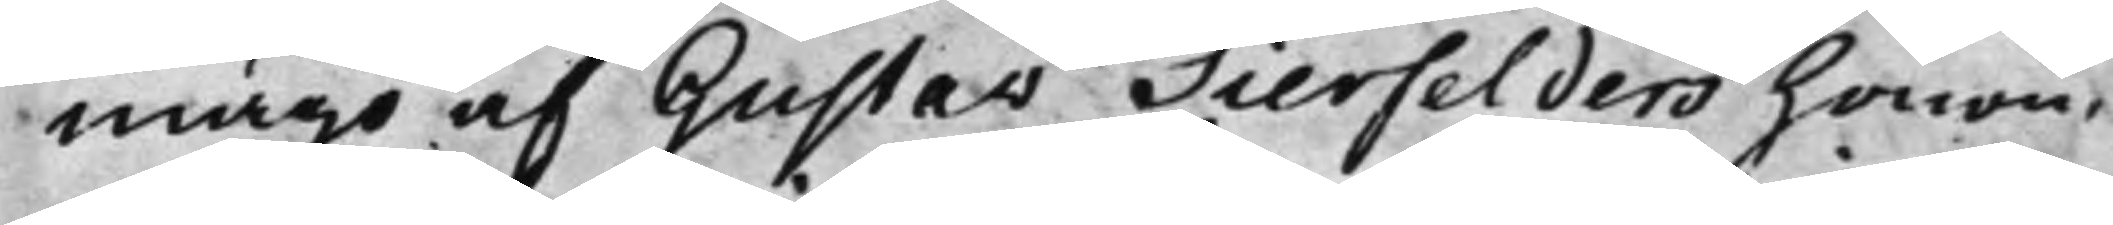mågo af Gustav Tierfelders honom
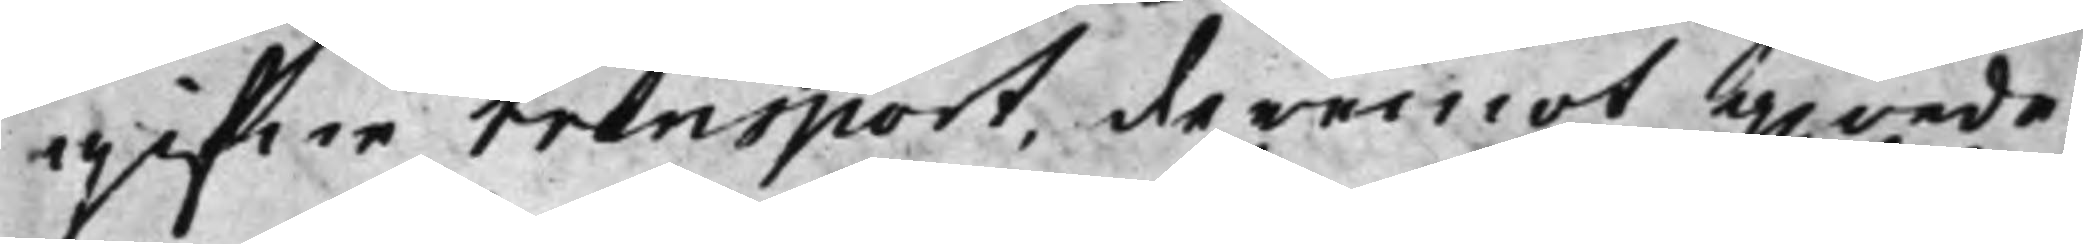gifne transport, deremot giorde
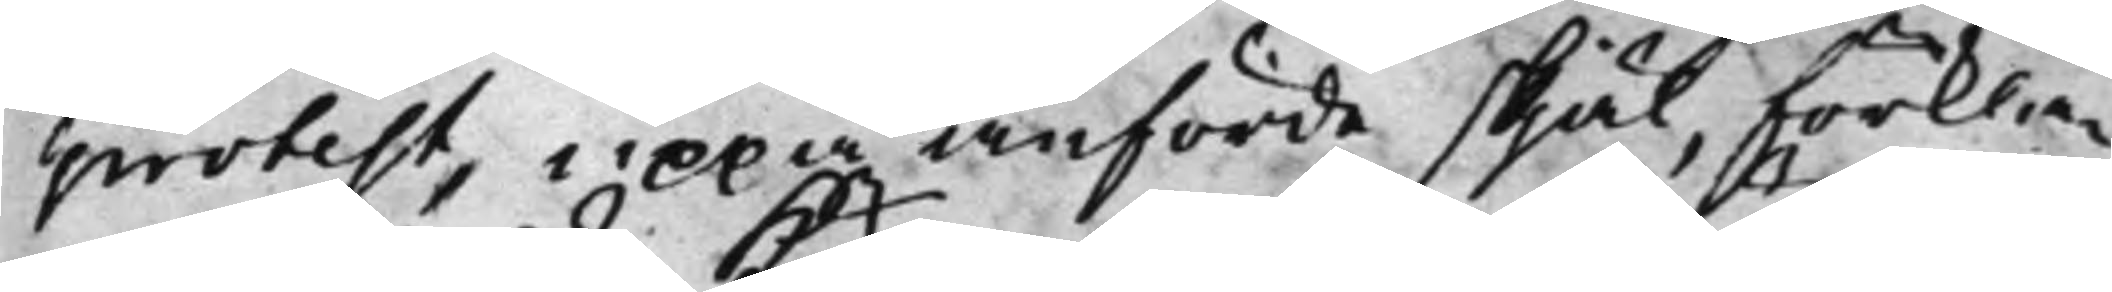protest, uppå anförde skjäl, förkla¬
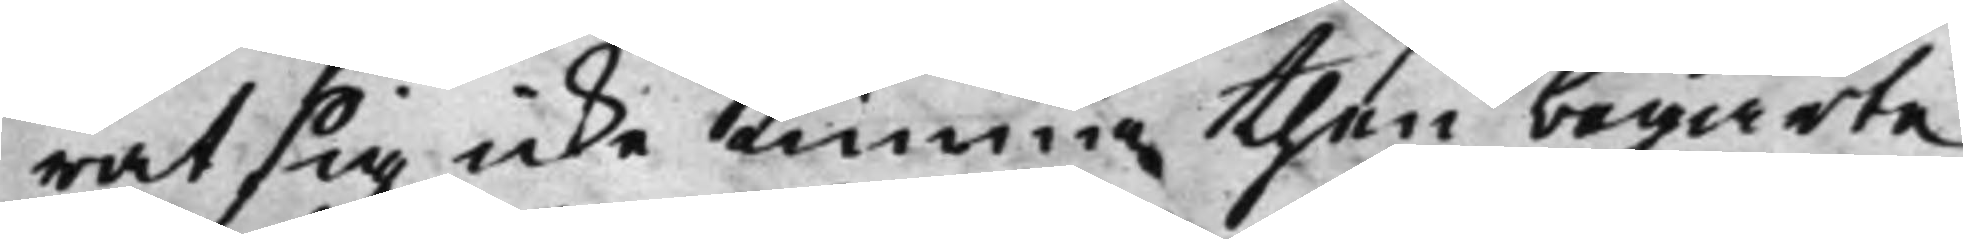rat sig icke kunna then begärte
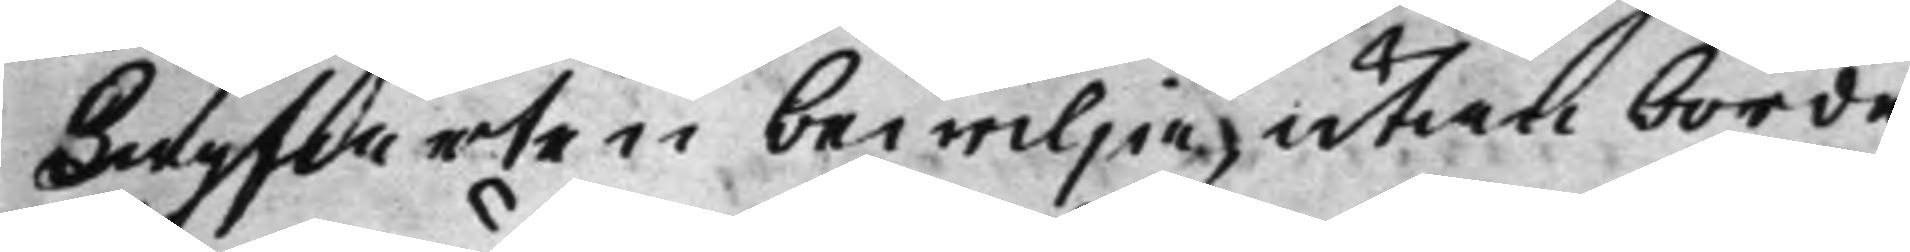Lagfarten bewilja, utan borde
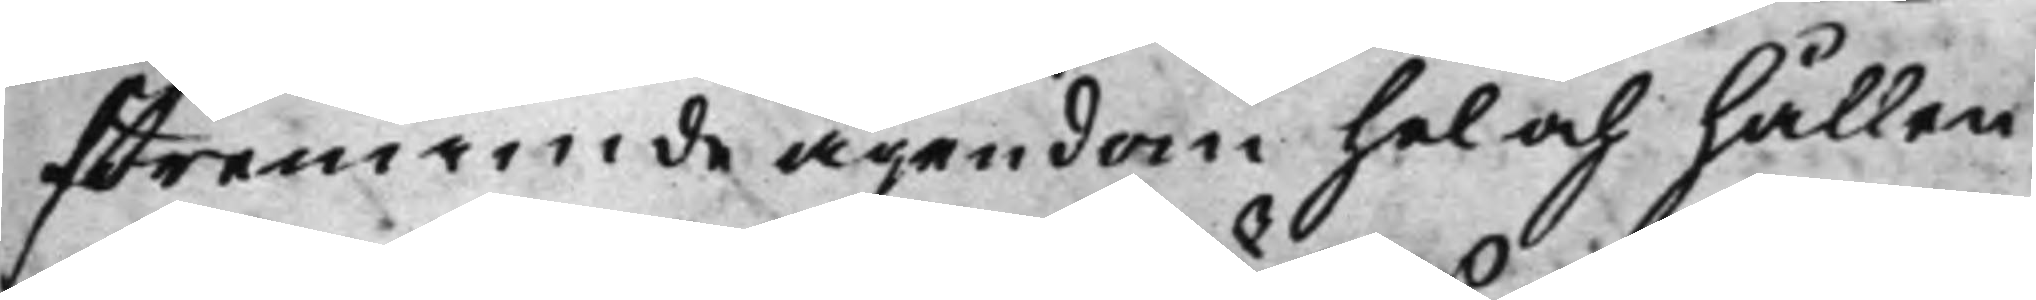förenämde ägendom hel och hållen
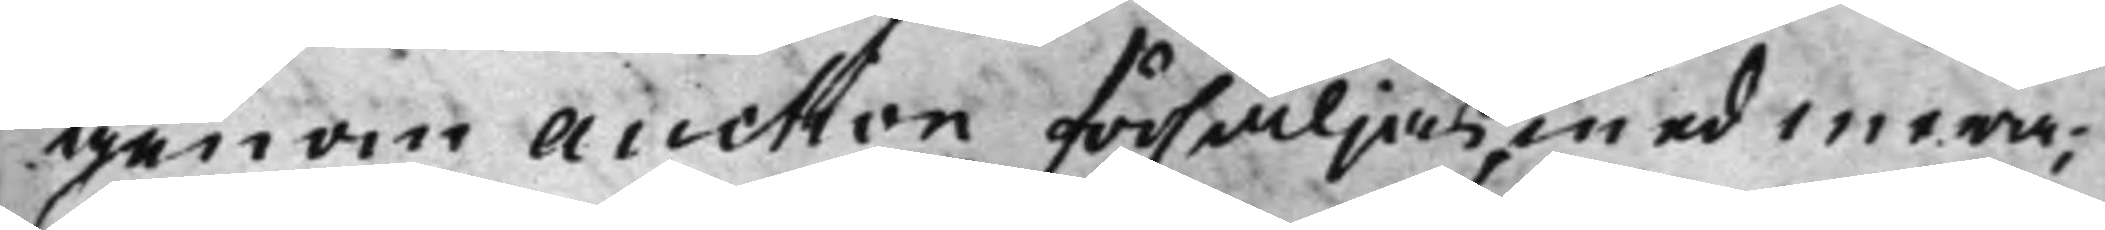genom Auction försäljas, med mera;
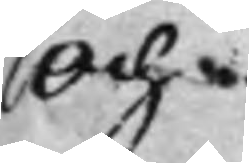Och:
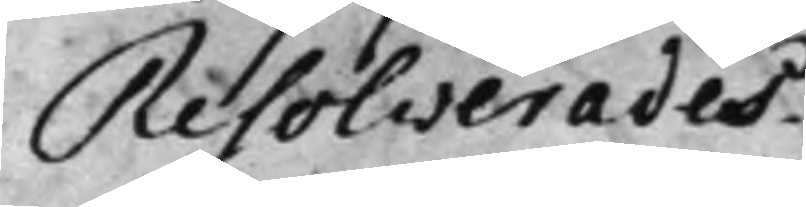Resolverades.
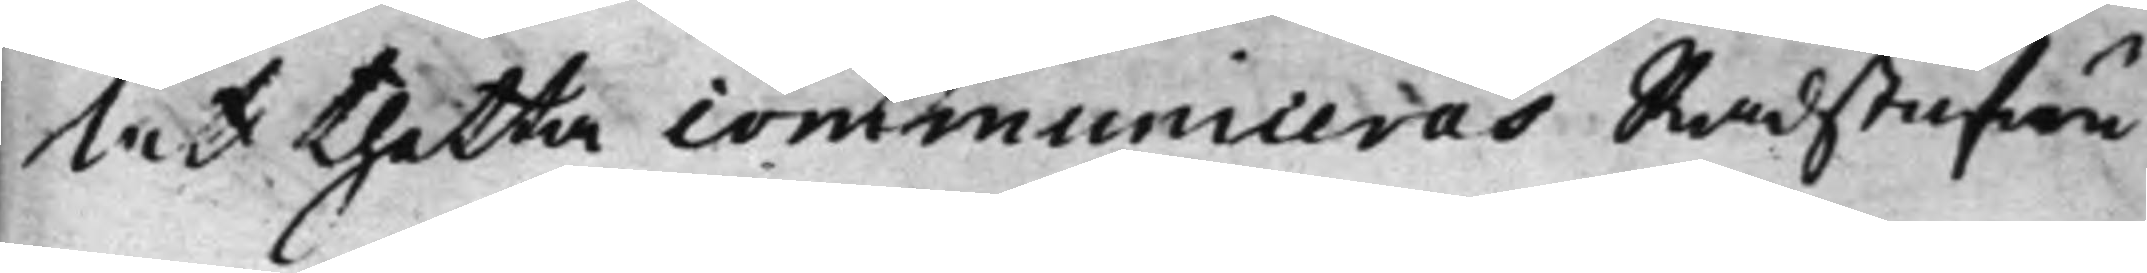At thetta communiceras Rådstufwu
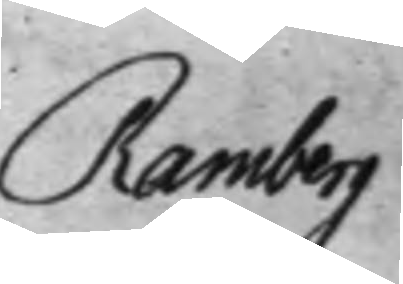Ramberg
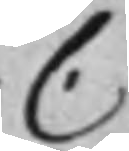C.
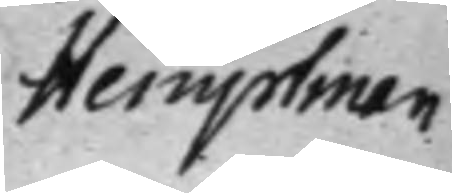Hemptman
